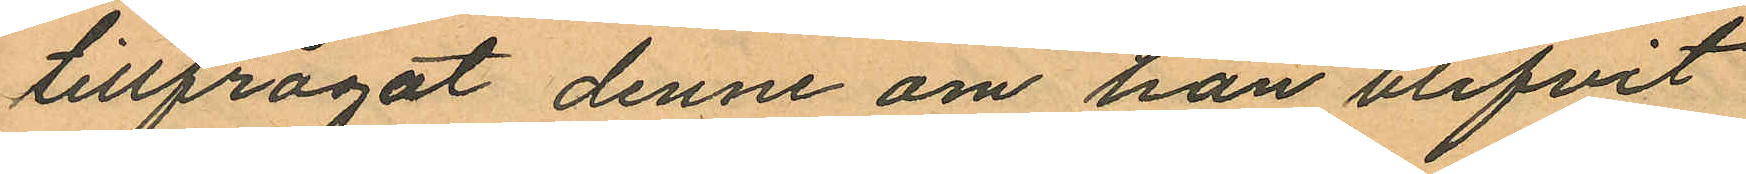tillfrågat denne om han blifvit
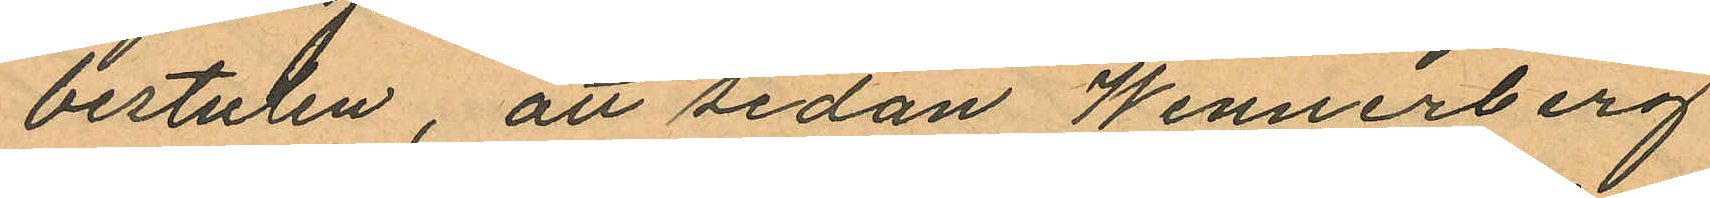bestulen, att sedan Wennerberg
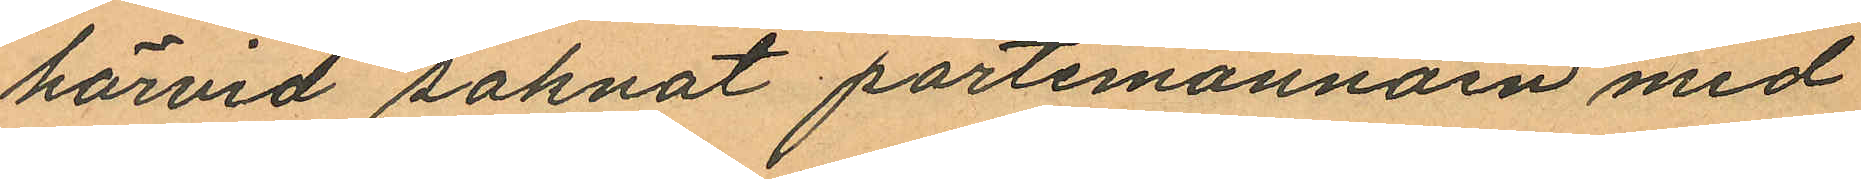härvid saknat portemonnäen med
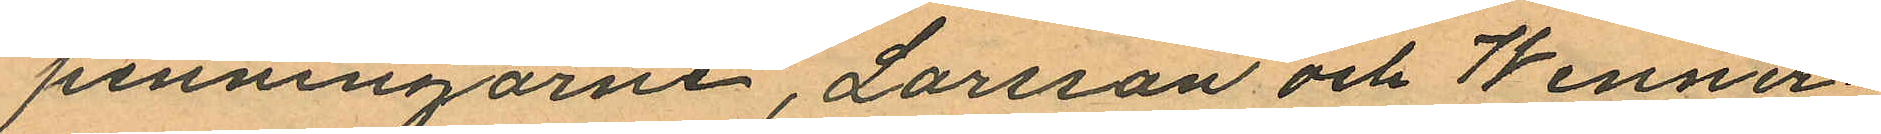penningarne, Larsson och Wenner¬
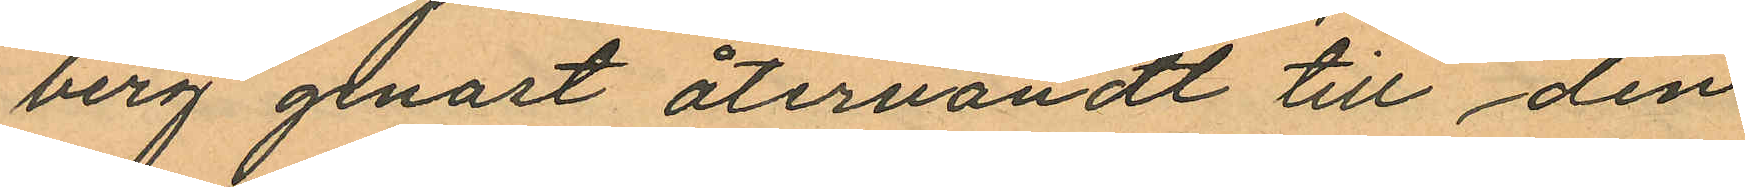berg genast återvändt till den
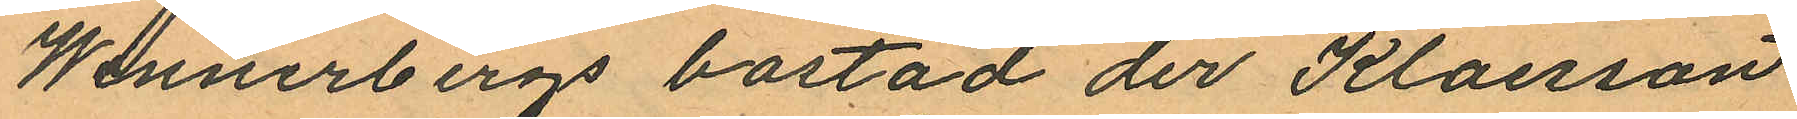Wennerbergs bostad der Klaesson
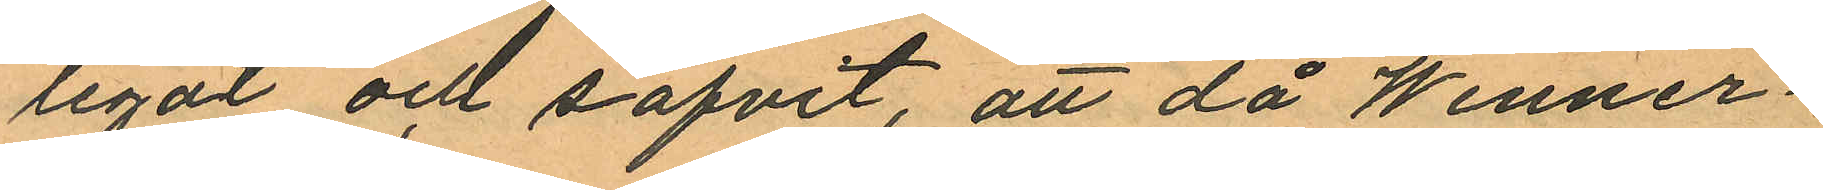legat och sofvit, att då Wenner¬
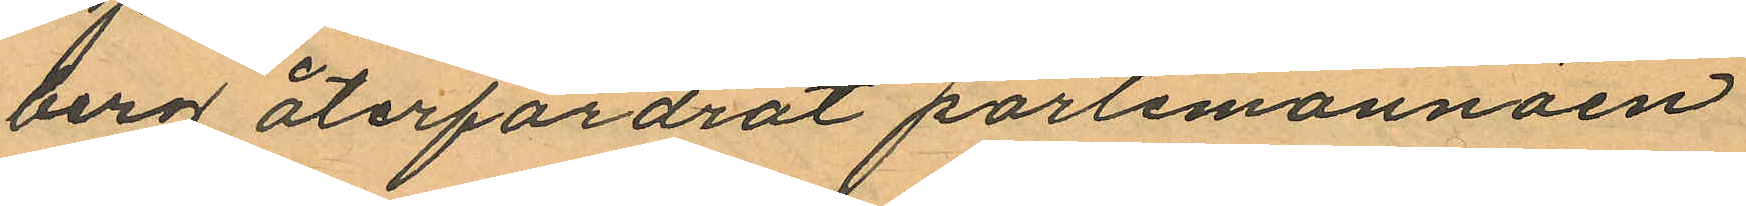berg återfordrat portemonnäen
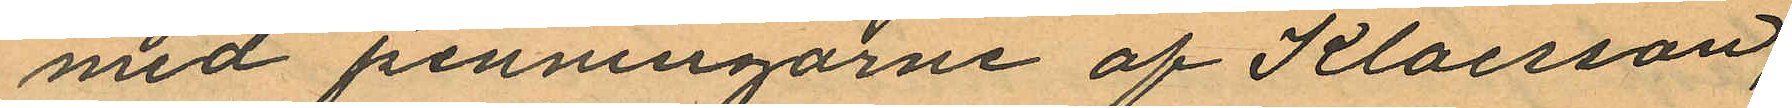med penningarne af Klaesson,
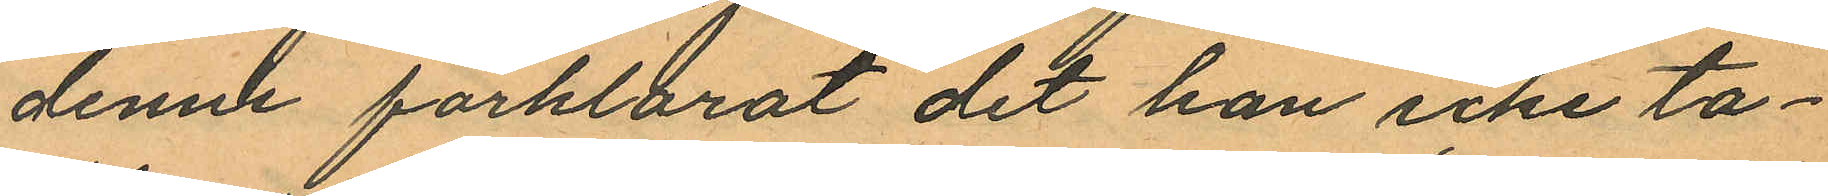denne förklarat det han icke ta¬
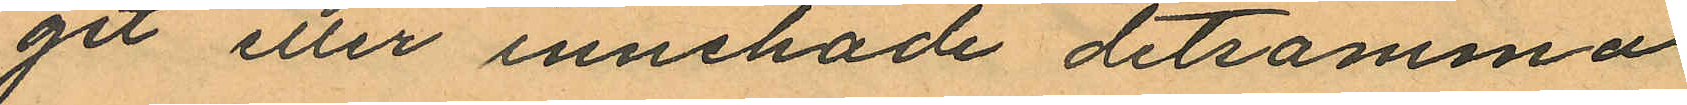git eller innehade detsamma
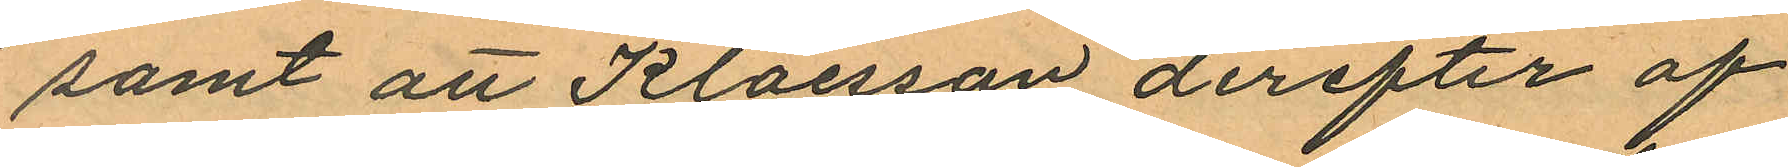samt att Klaesson derefter af
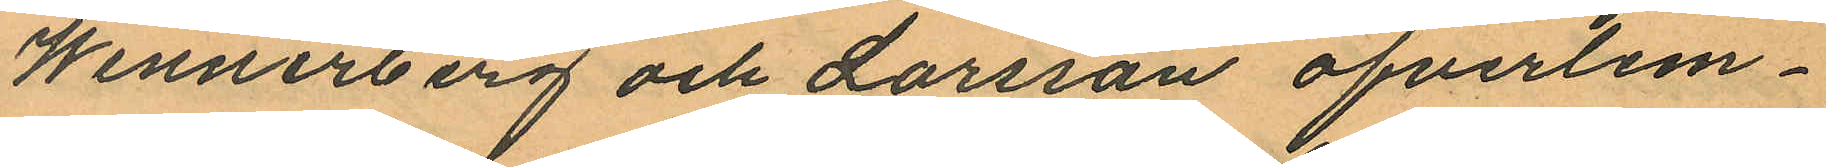Wennerberg och Larsson öfverlem¬
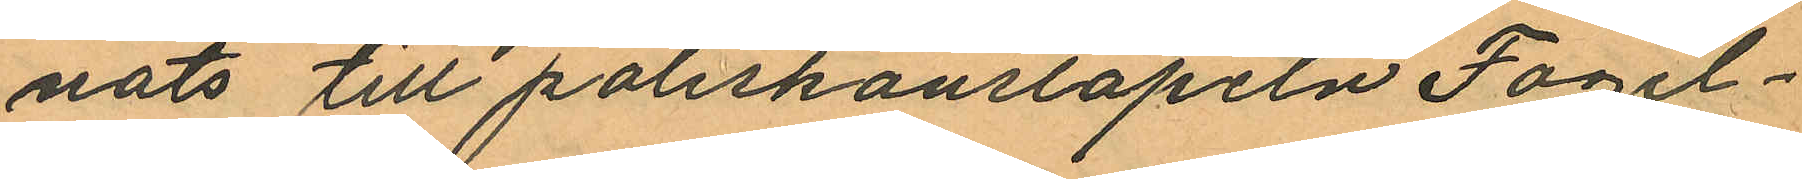nats till poliskonstapeln Fogel¬
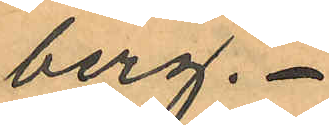berg.
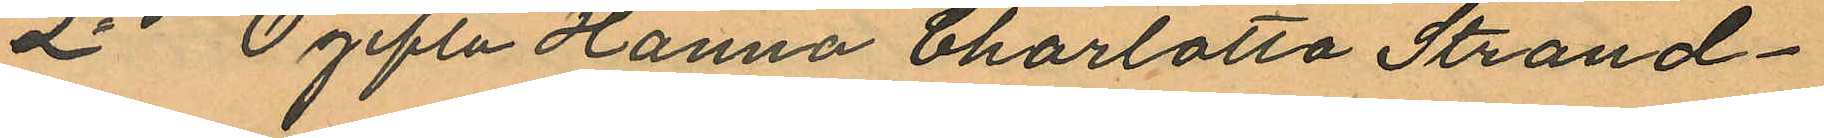2o Ogifta Hanna Charlotta Strand¬
